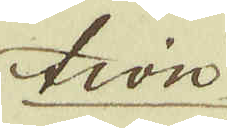tion
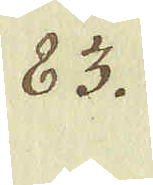83.
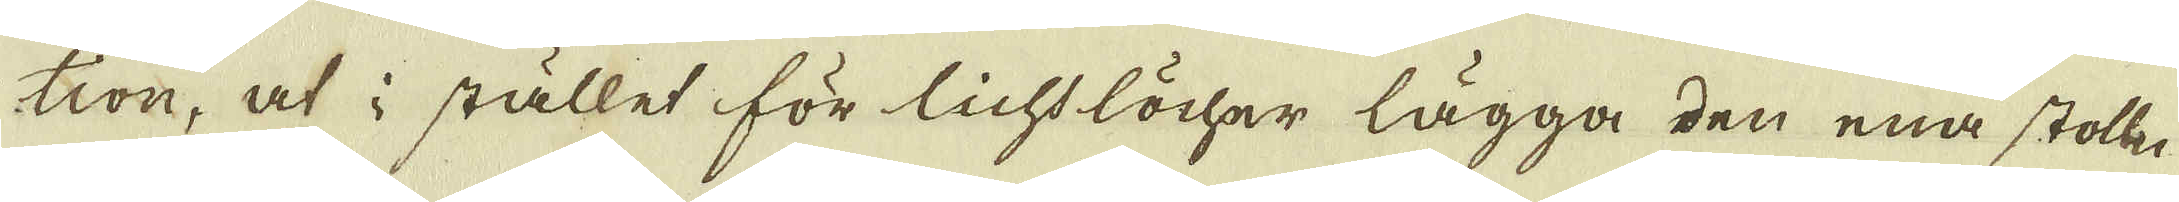tion, at i stället för lichtlöcher lägga den ena stolln
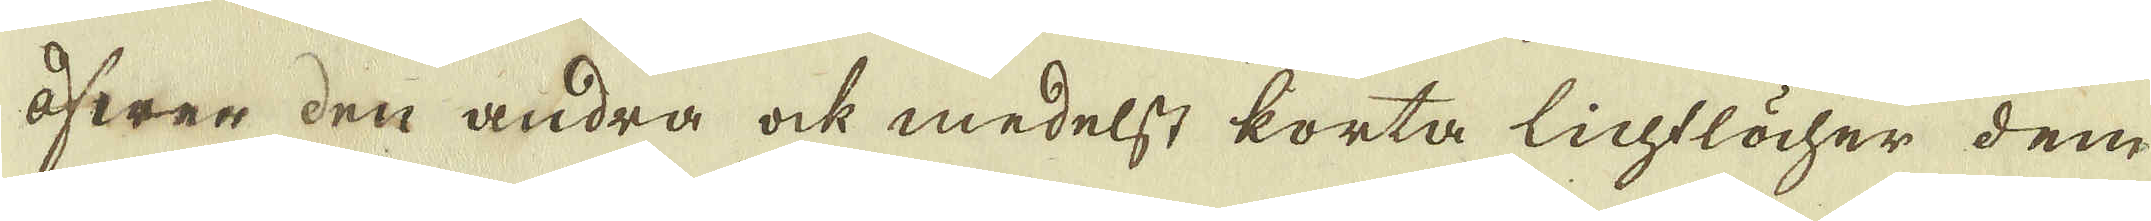öfwer den andra ock medelst korta lichtlöcher dem
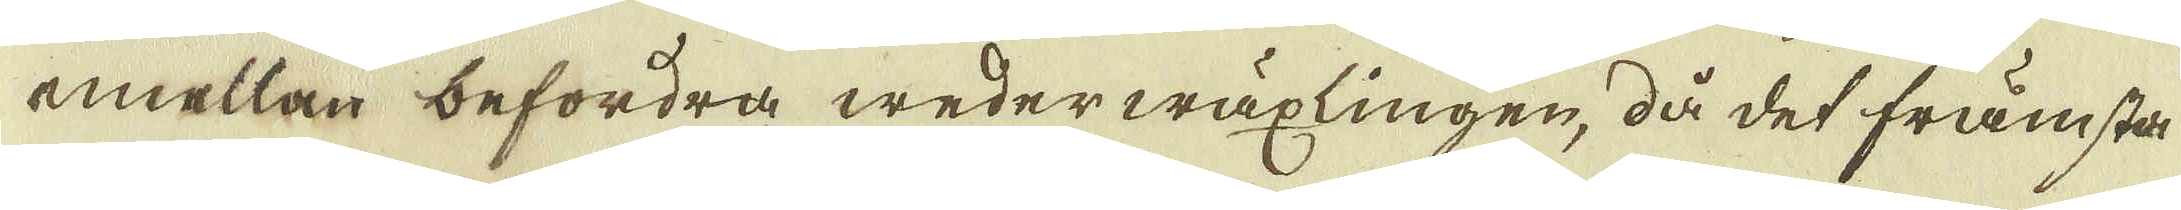emellan befordra wederwäxlingen, då det främsta
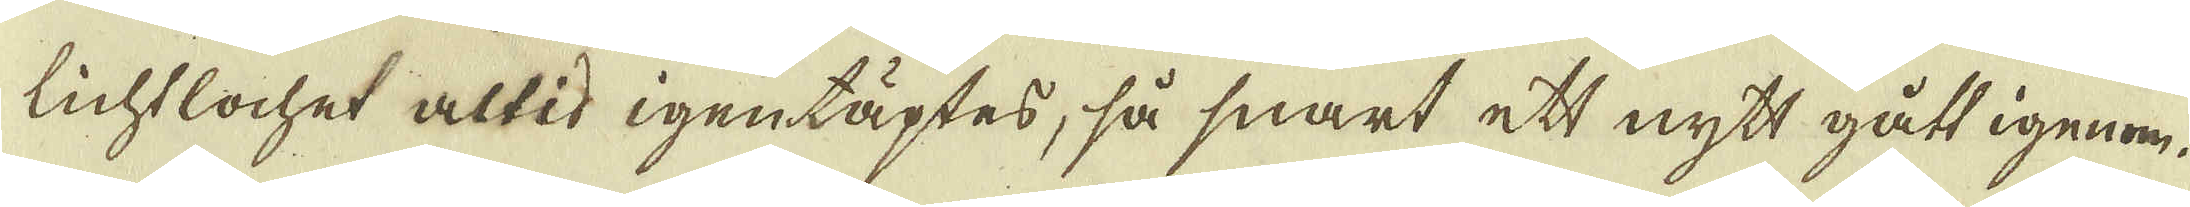lichtlochet altid igentäptes, så snart ett nytt gått igenom.
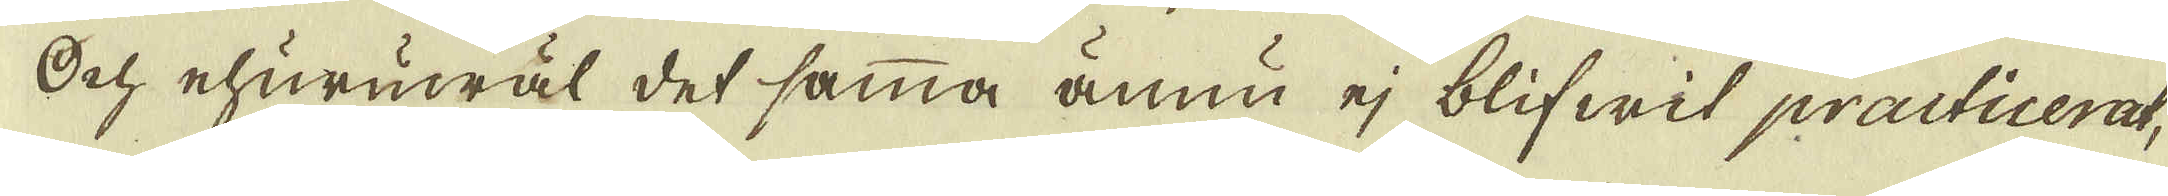Och ehuruwäl det samma ännu ej blifwit practicerat,
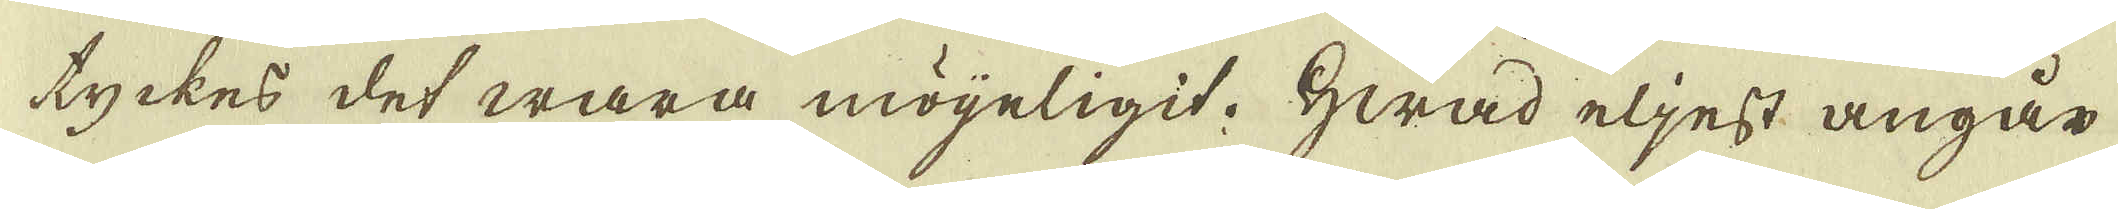tyckes det wara möijeligit. Hwad eljest angår
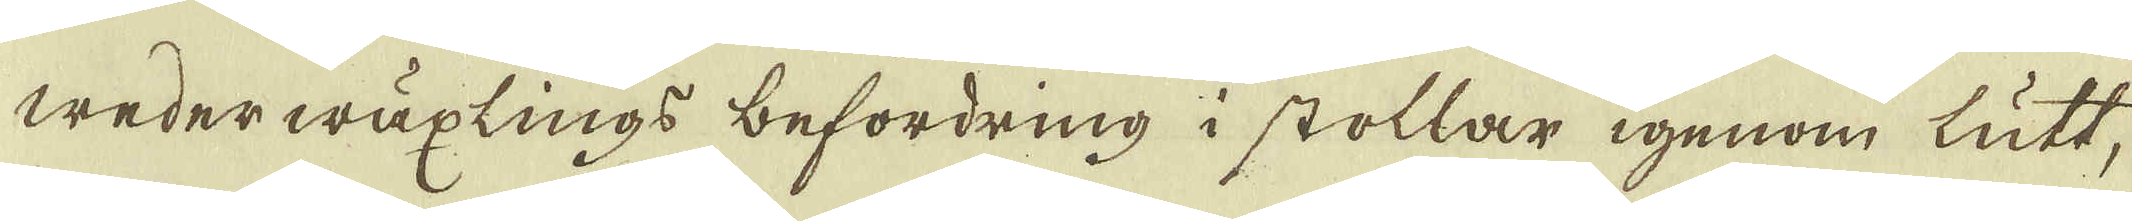wederwäxlings befordring i stollar igenom lutt,
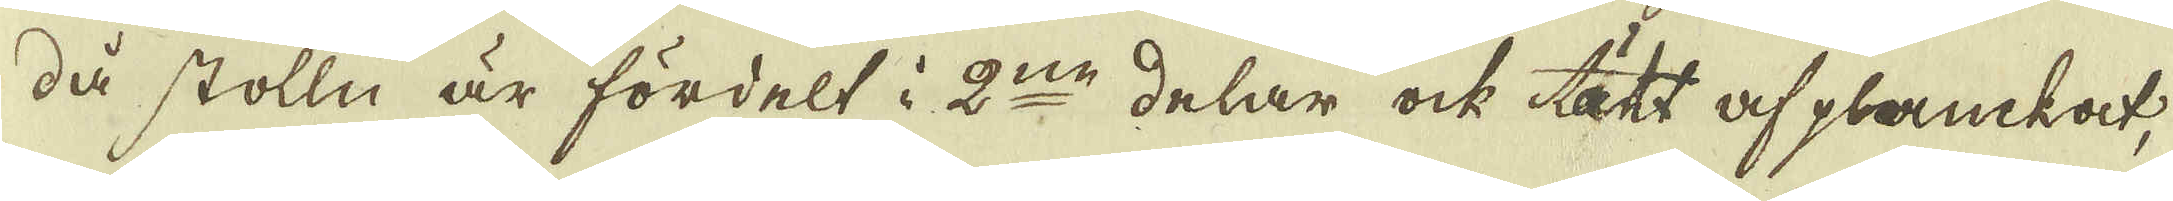då stolln är fördelt i 2:ne delar ock tätt af planckat,
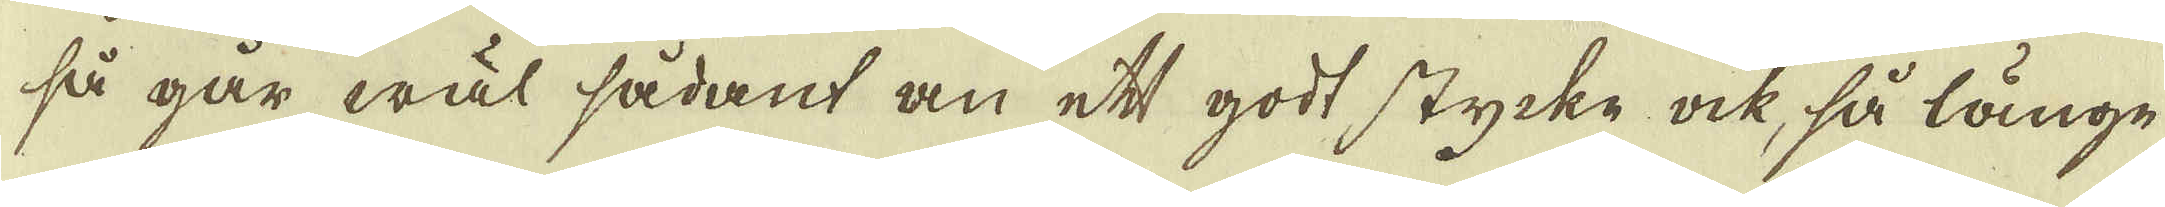så går wäl sådant an ett godt stycke ock, så länge
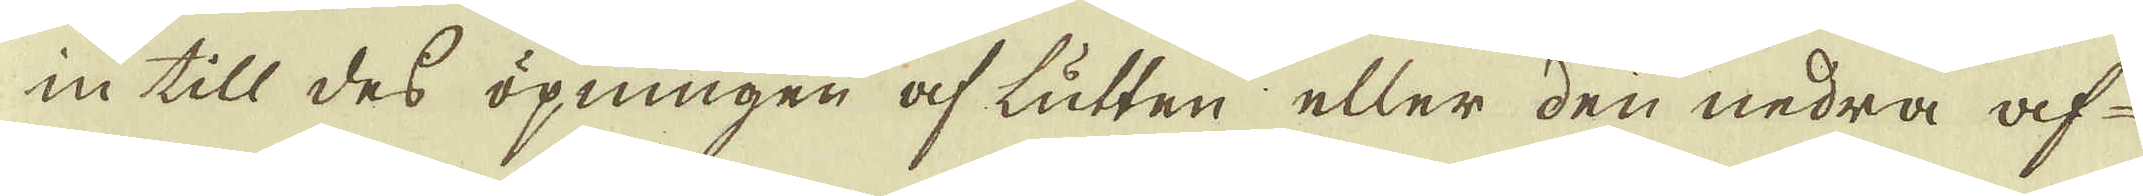in till des öpningen af lutten eller den nedra af-
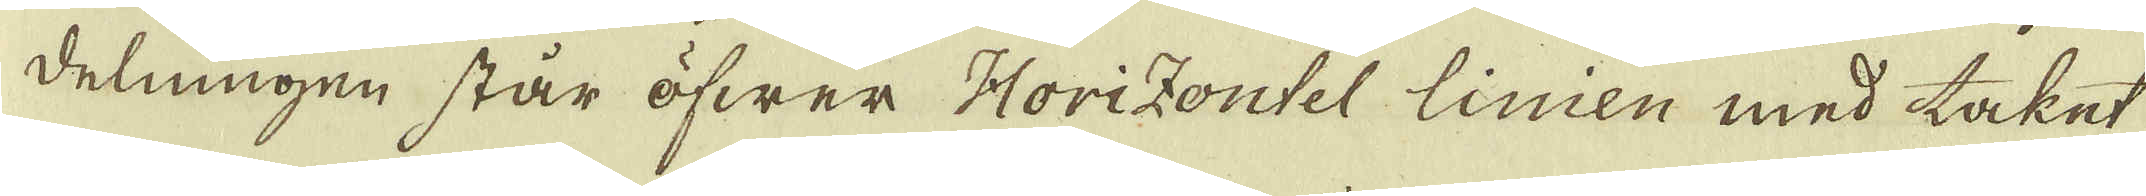delningen står öfwer Horizontel linien med taket
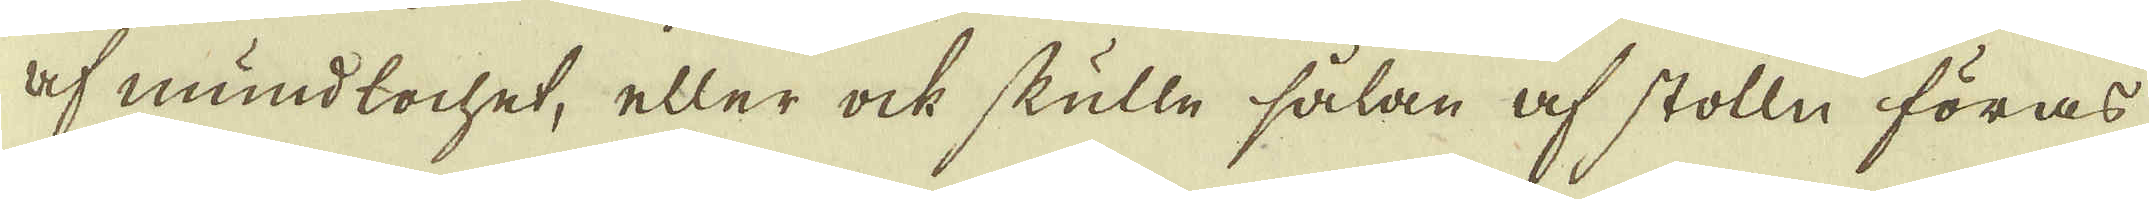af mundlochet, eller ock skulle sålan af stolln föras
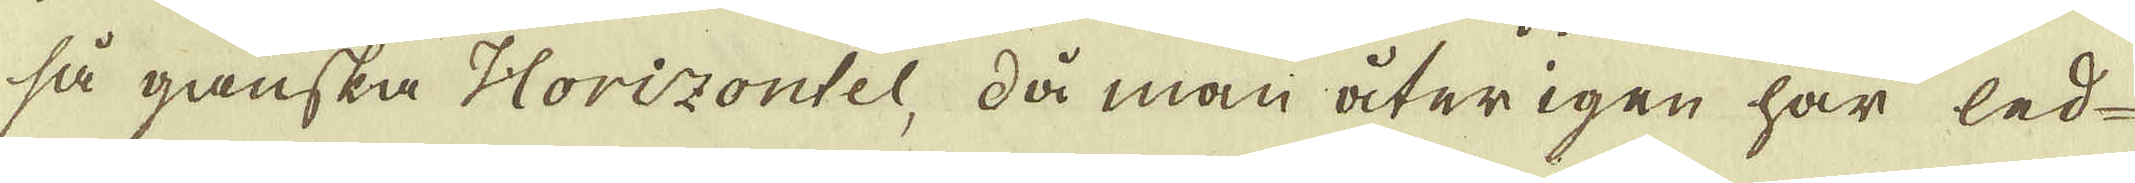så ganska Horizontel, då man återigen har led
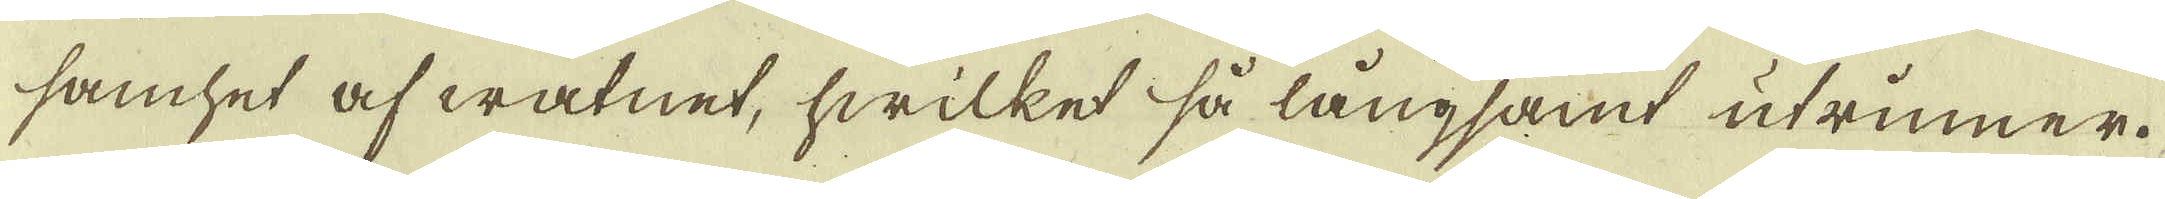samhet af watnet, hwilket så långsamt utrinner.
